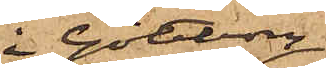i Göteborg
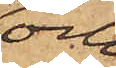och
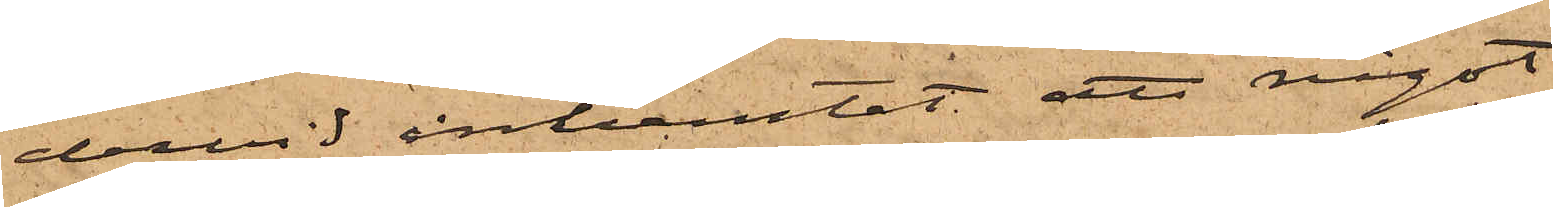dervid inhemtat att något
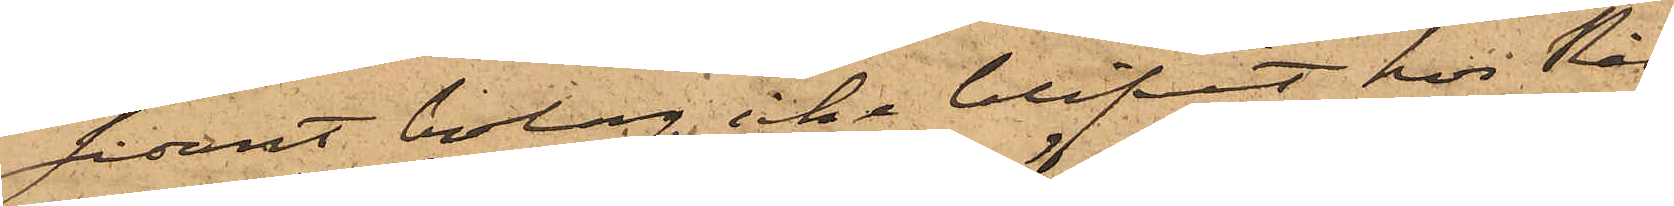sådant bolag icke blifvit hos Råd¬
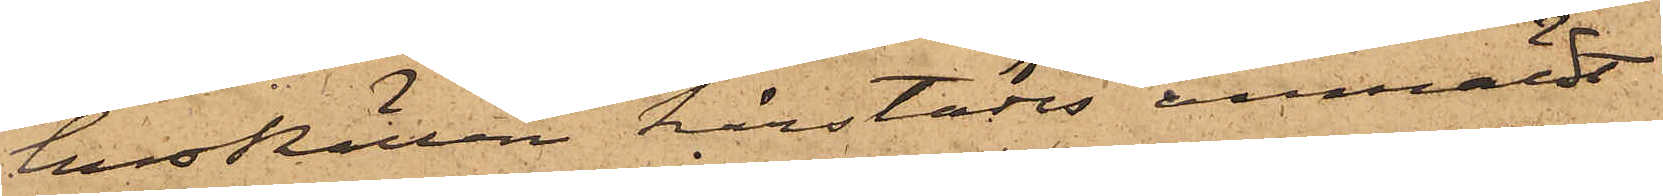husRätten härstädes anmäldt
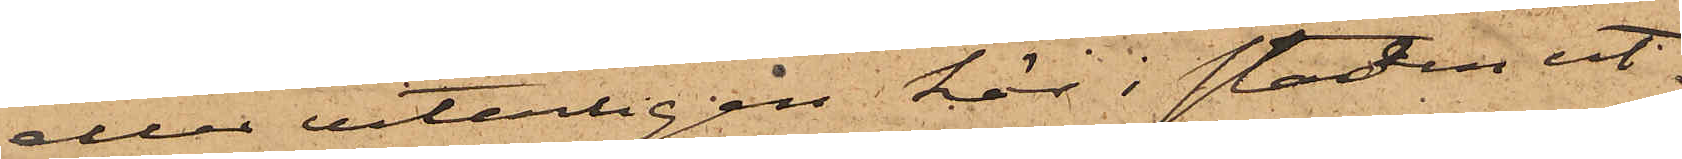eller veterligen här i staden ut¬
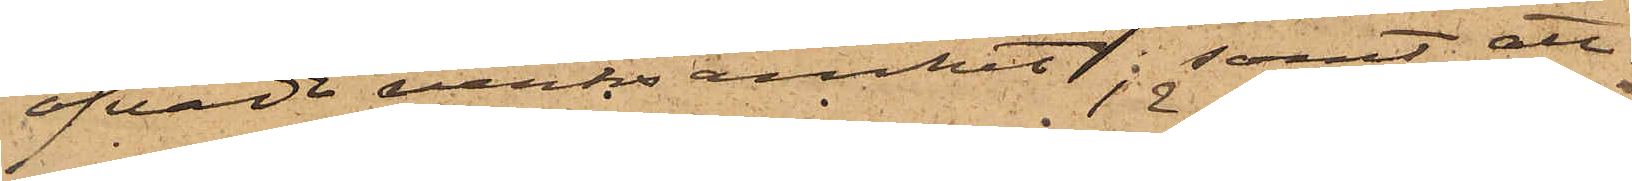öfvade verksamhet; samt att
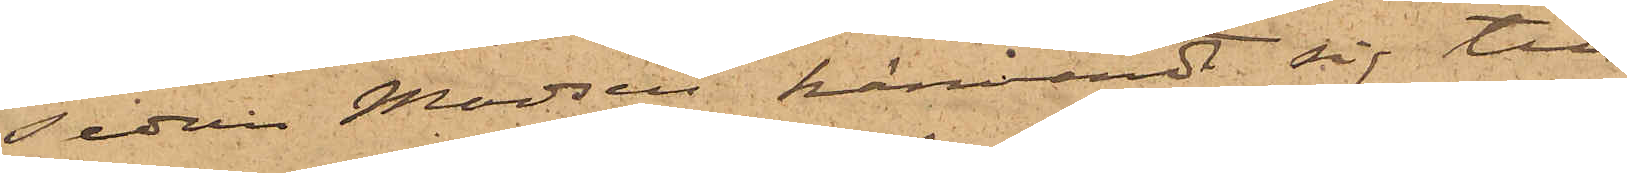sedan Madsen hänvändt sig till
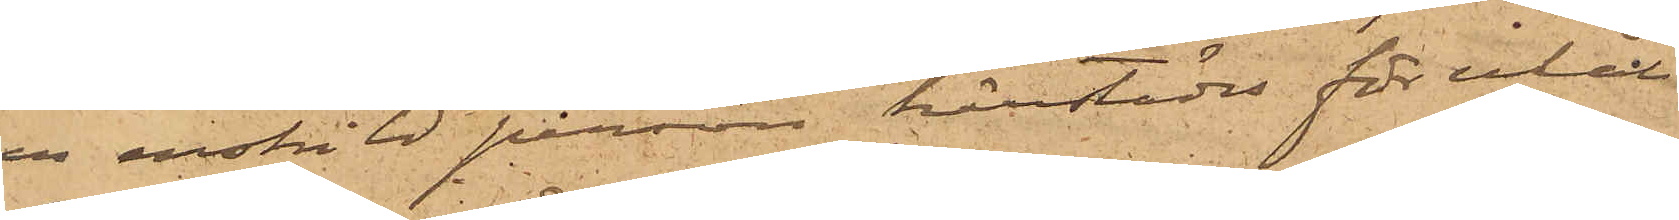en enskild person härstädes för erhåll¬
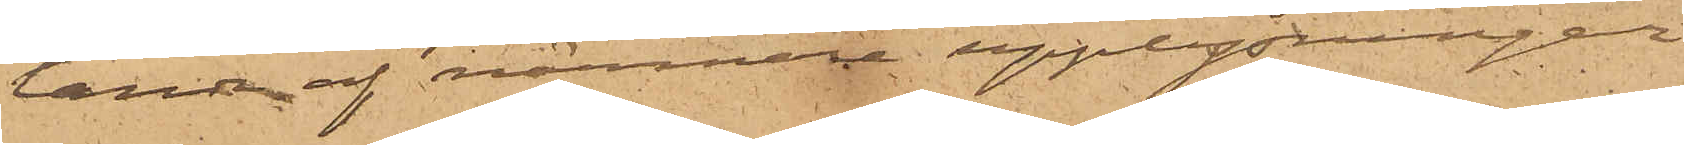lande af närmare upplysningar,
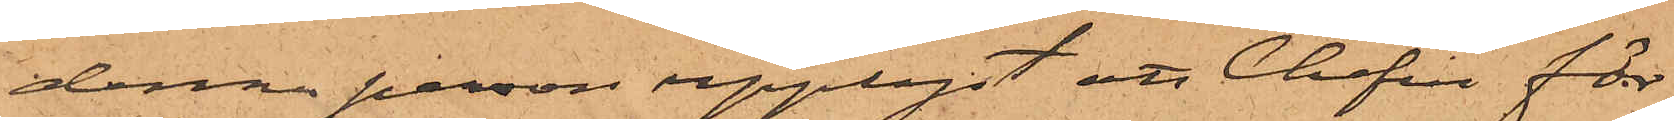denna person upplyst att Chefen för
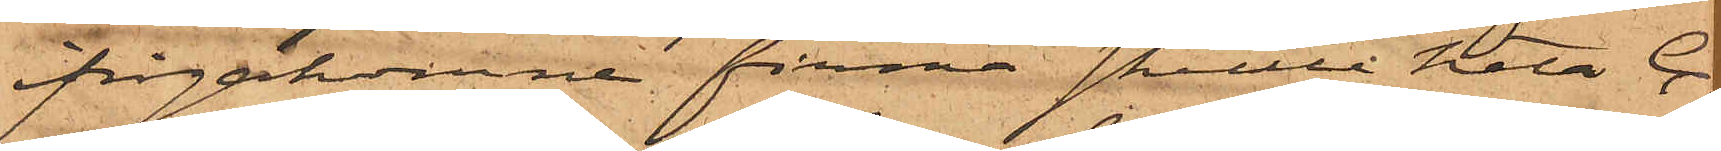ifrågakomne firma skulle heta C.
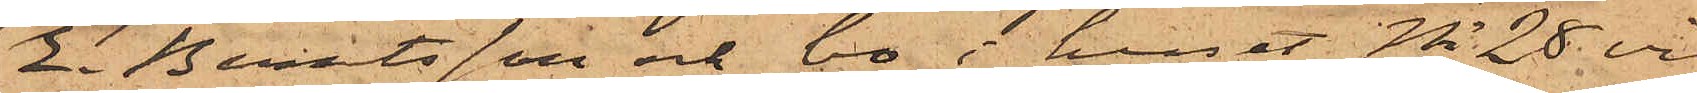E. Berntsson och bo i huset No 28 vid
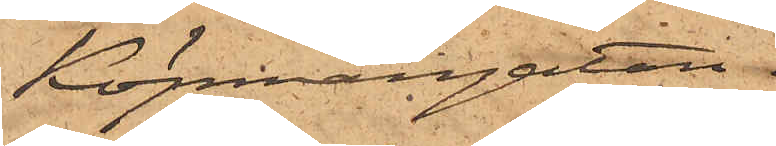Köpmangatan.
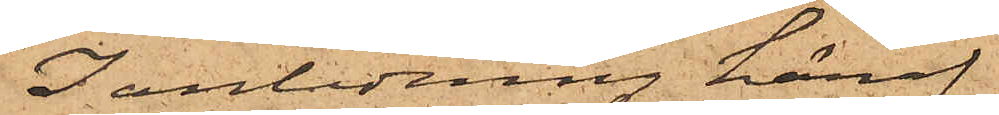I anledning häraf
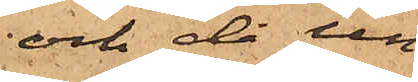och då un¬
